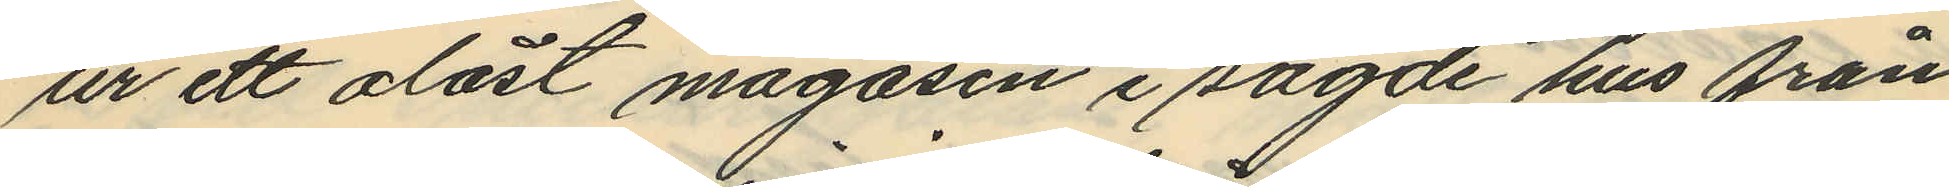ur ett olåst magasin i sagde hus från
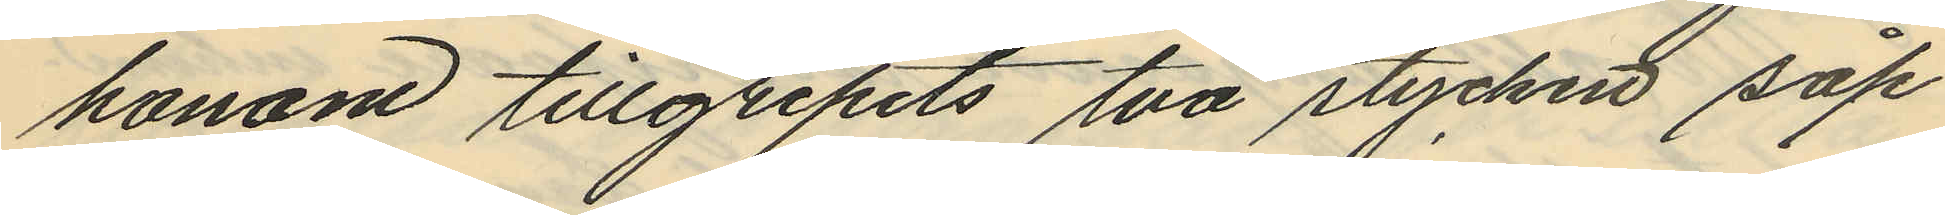honom tillgripits två stycken såp¬
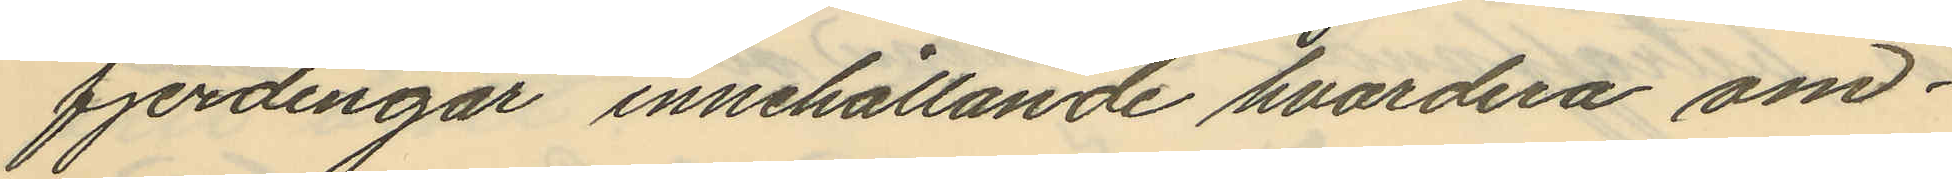fjerdingar innehållande hvardera om¬
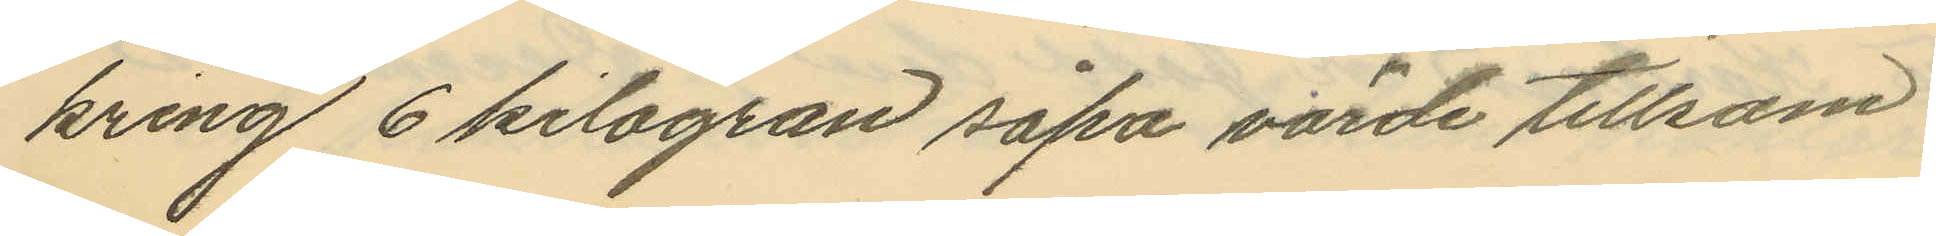kring 6 kilogran såpa värde tillsam¬
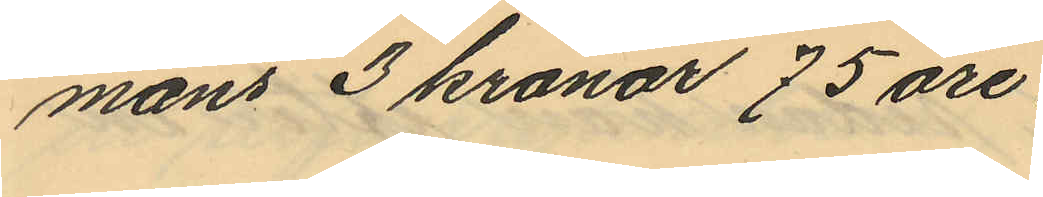mans 3 kronor 75 öre.
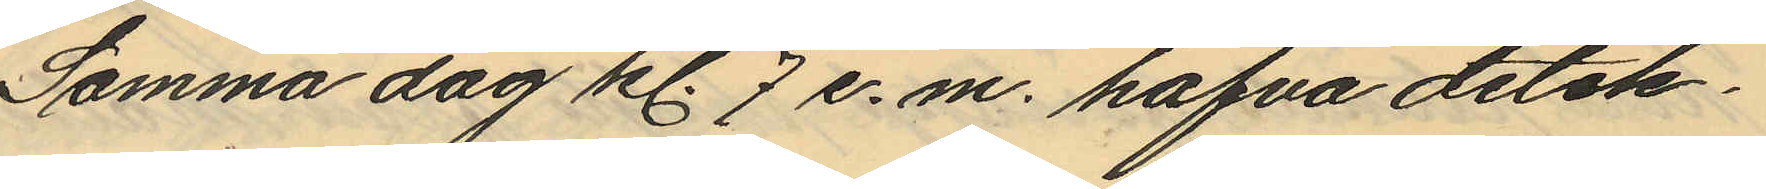Samma dag kl. 7 e.m. hafva detek¬
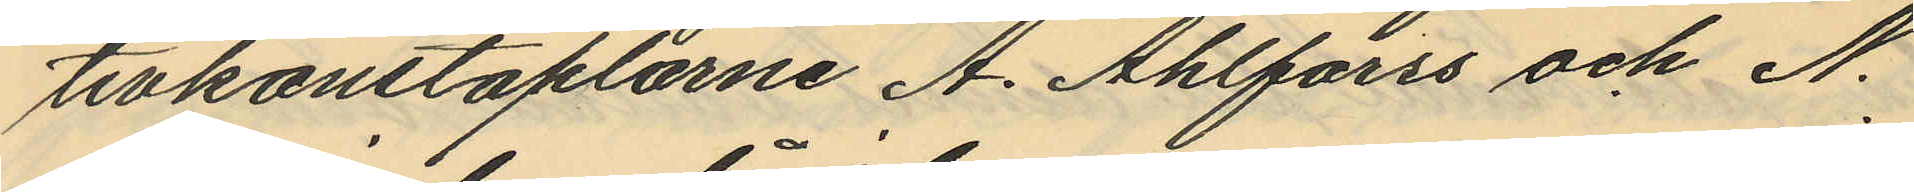tivkonstaplarne A. Ahlforss och N.
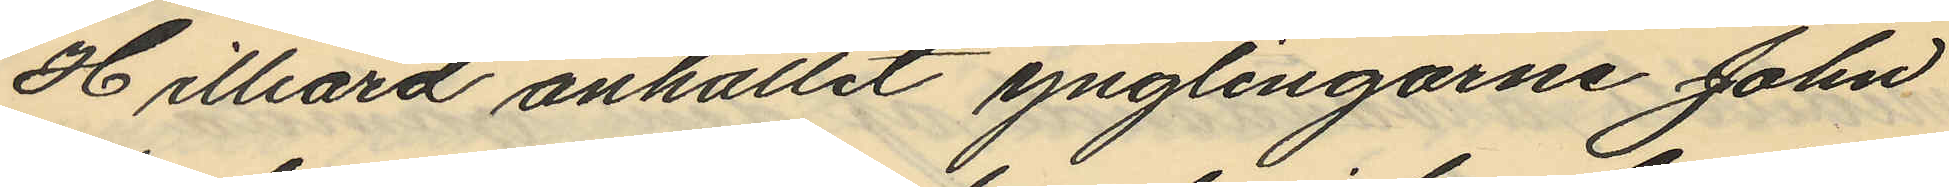Hilliard anhållit ynglingarne John
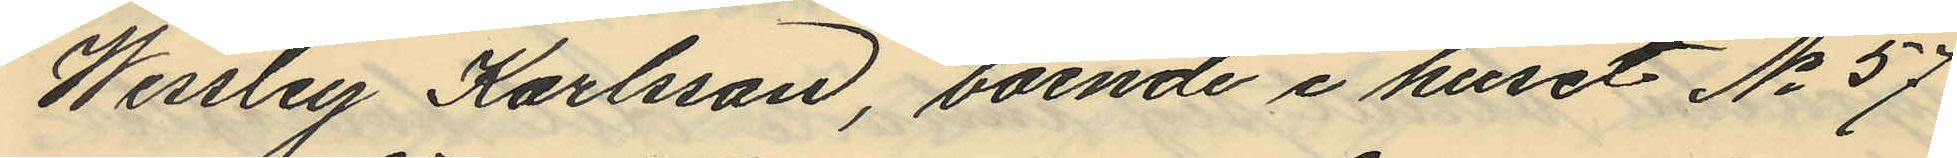Wessley Karlsson, boende i huset No 57
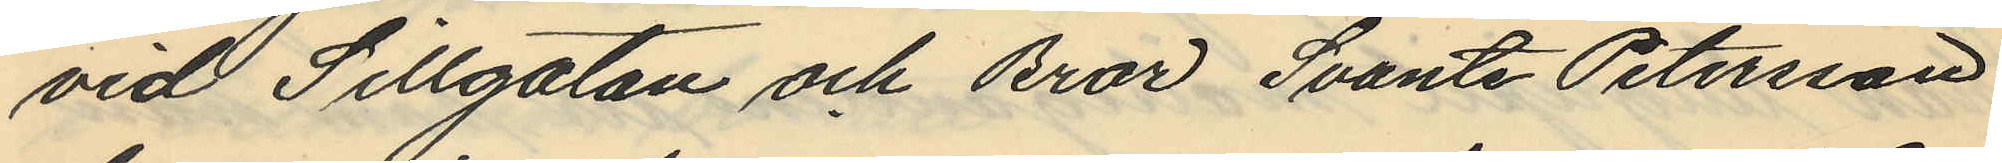vid Sillgatan och Bror Svante Petersson
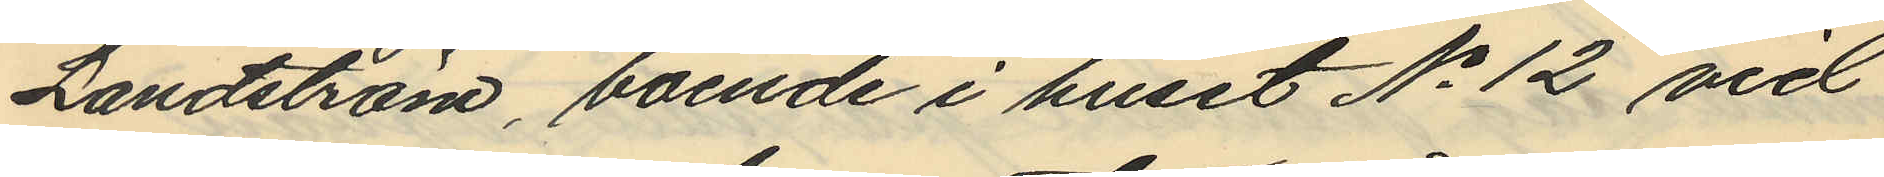Landström, boende i huset No 12 vid
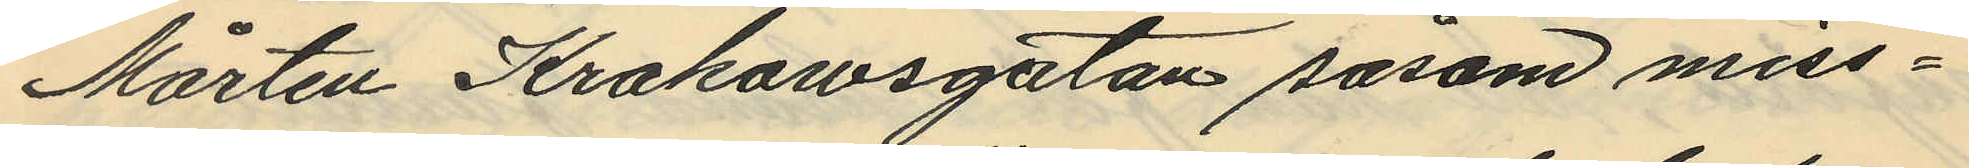Mårten Krakowsgatan såsom miss¬
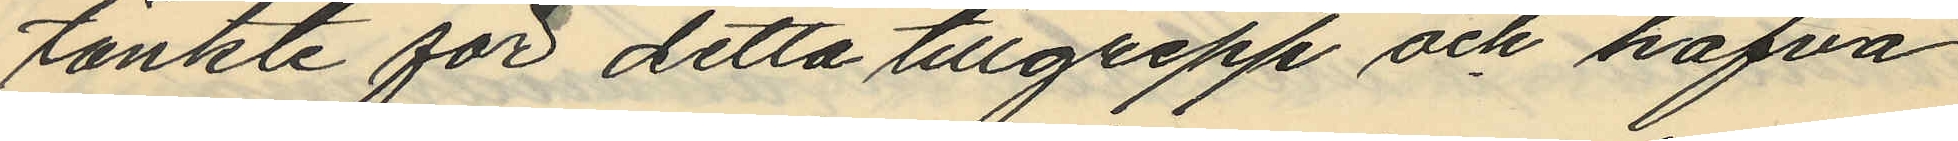tänkte för detta tillgrepp och hafva
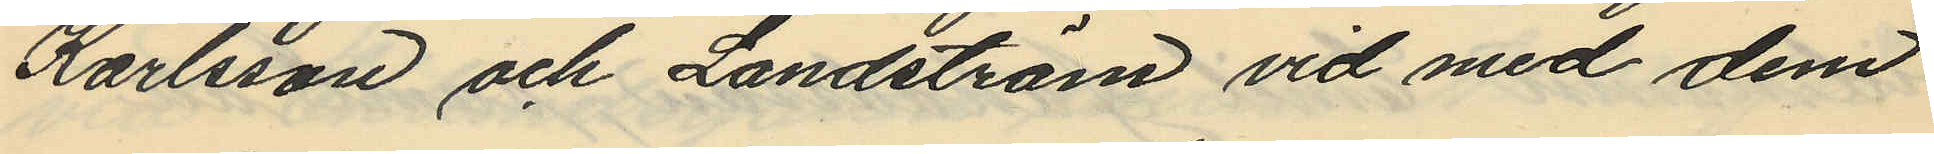Karlsson och Landström vid med dem
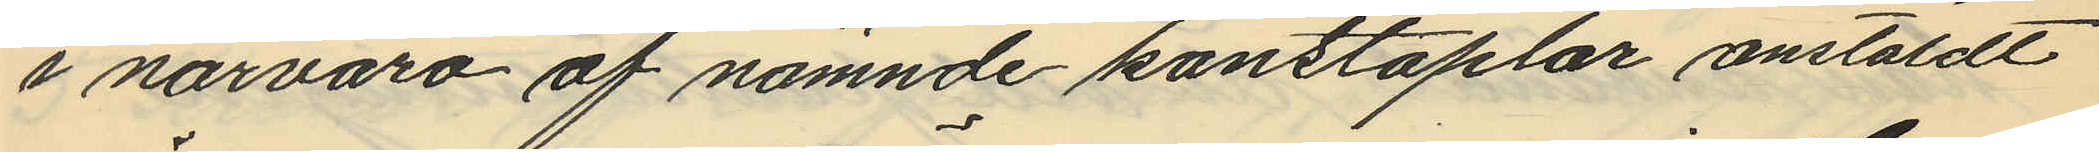i närvaro af nämnde konstaplar anstäldt
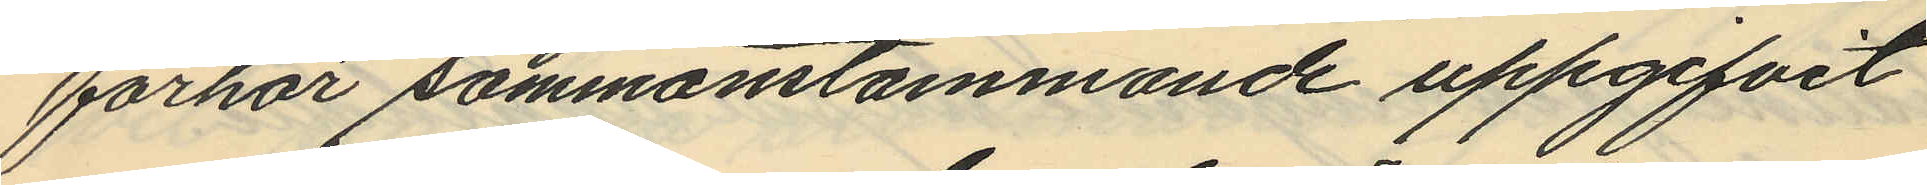förhör sammanstämmande uppgifvit
